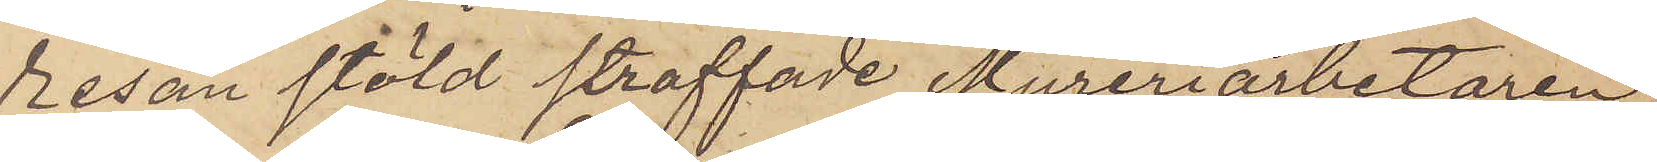resan stöld straffade Mureriarbetaren
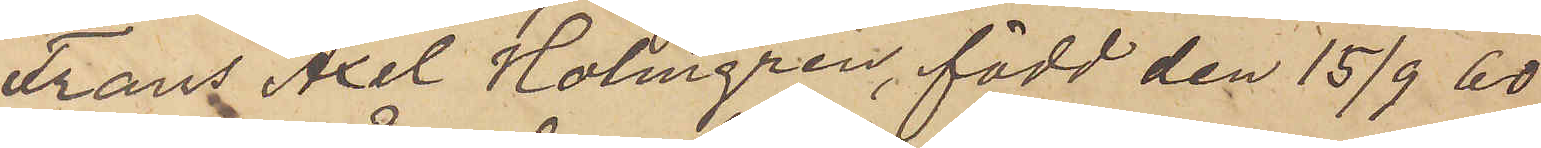Frans Axel Holmgren, född den 15/9 60
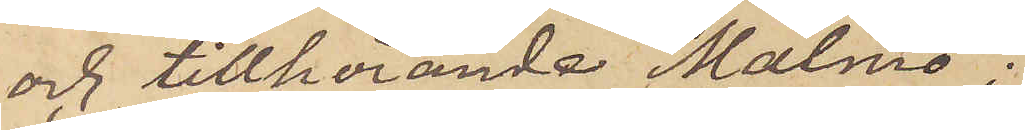och tillhörande Malmö;
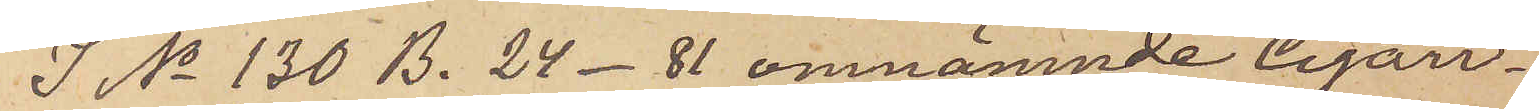I No 130 B. 24 - 81 omnämnde Cigarr¬
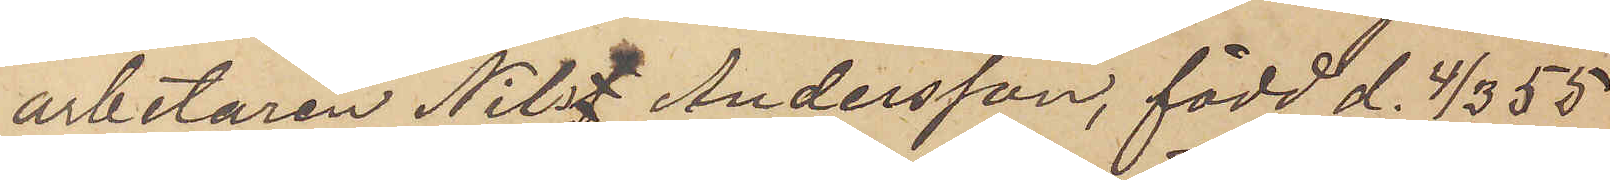arbetaren Nils Andersson, född d. 4/3 55
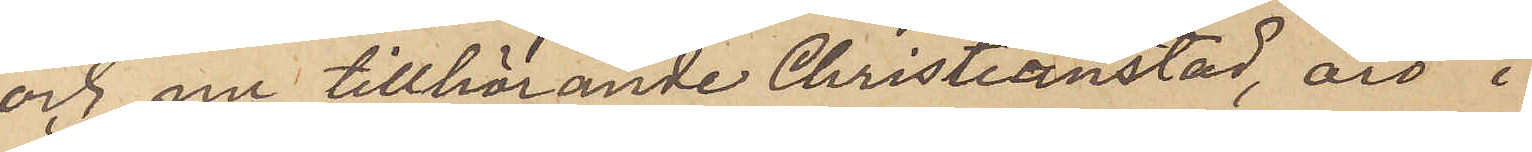och nu tillhörande Christianstad, äro i
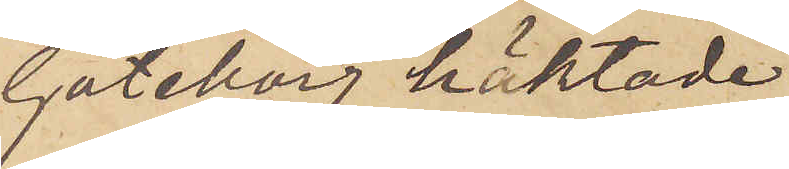Göteborg häktade
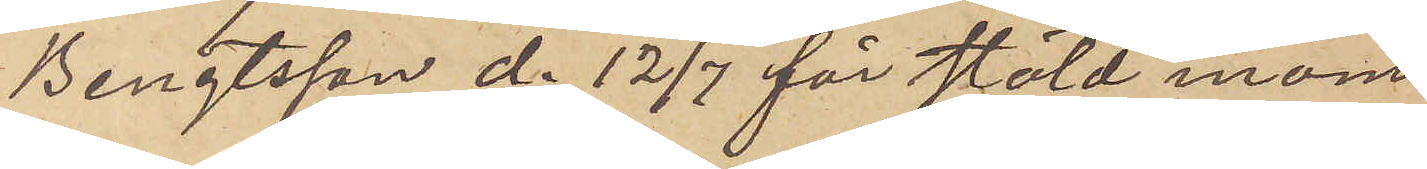Bengtsson d. 12/7 för stöld inom
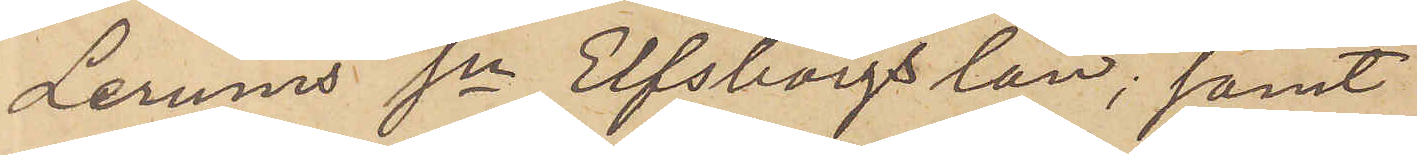Lerums sn Elfsborgs län; samt
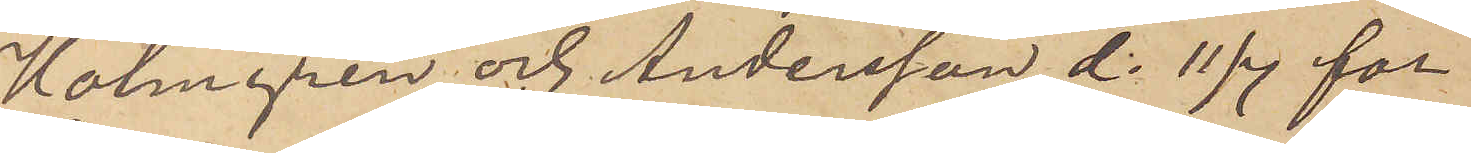Holmgren och Andersson d. 11/7 för
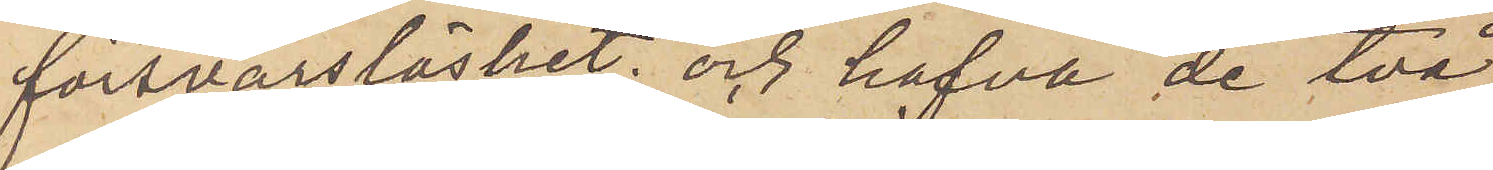försvarslöshet; och hafva de två
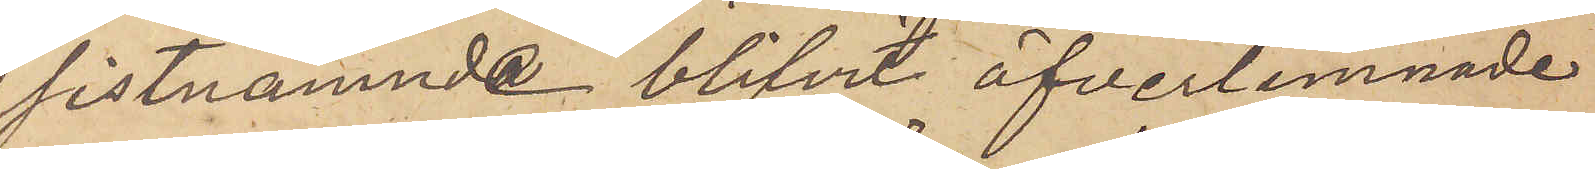sistnämnde blifvit öfverlemnade
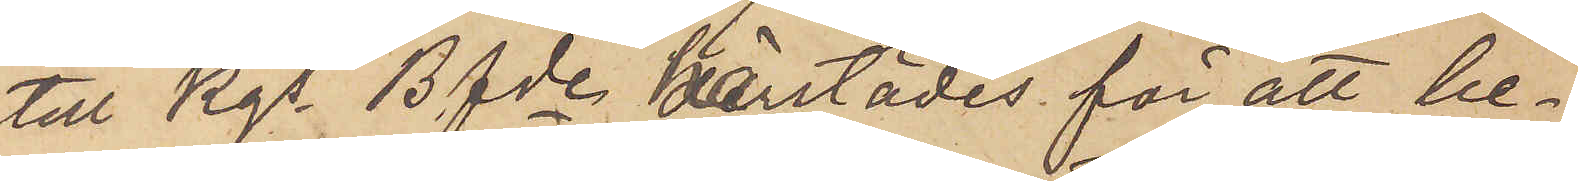till Kgs Bfde härstädes för att be¬
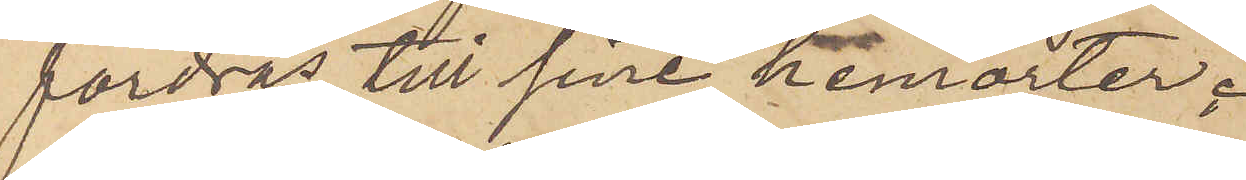fordras till sina hemorter.
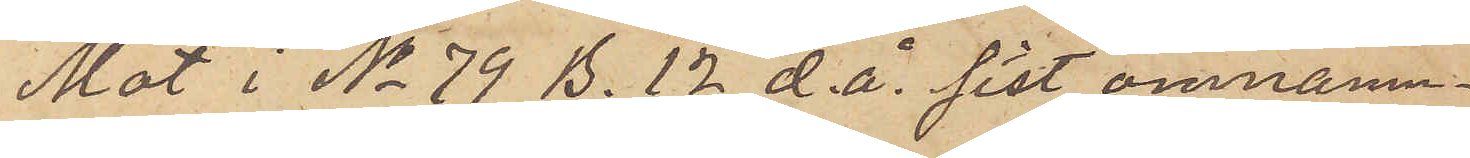Mot i No 79 B. 12 d. å. sist omnämn¬
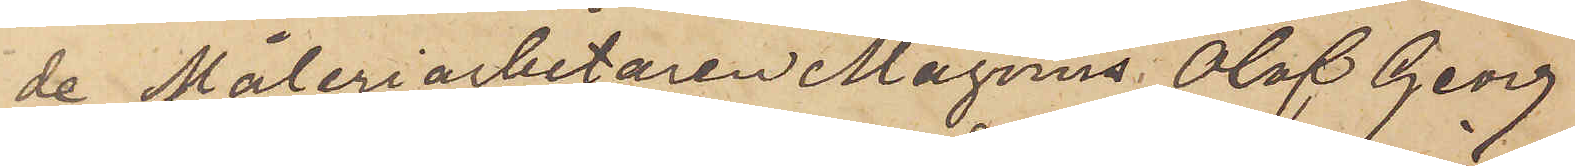de Måleriarbetaren Magnus Olof Georg
